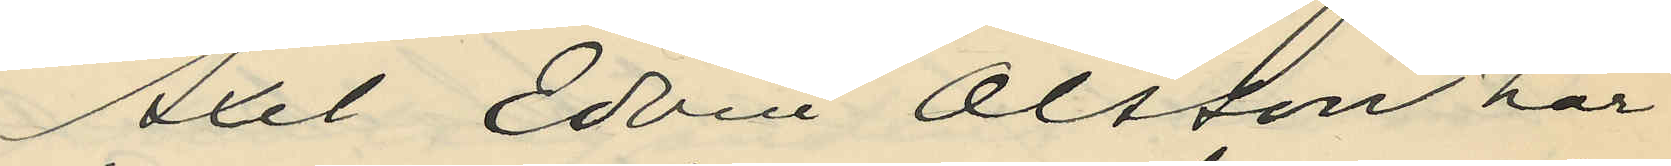Axel Edvin Olsson har
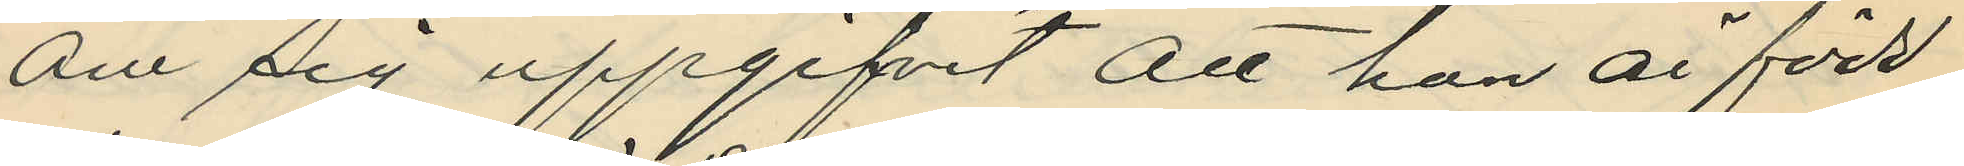om sig uppgifvit att han är född
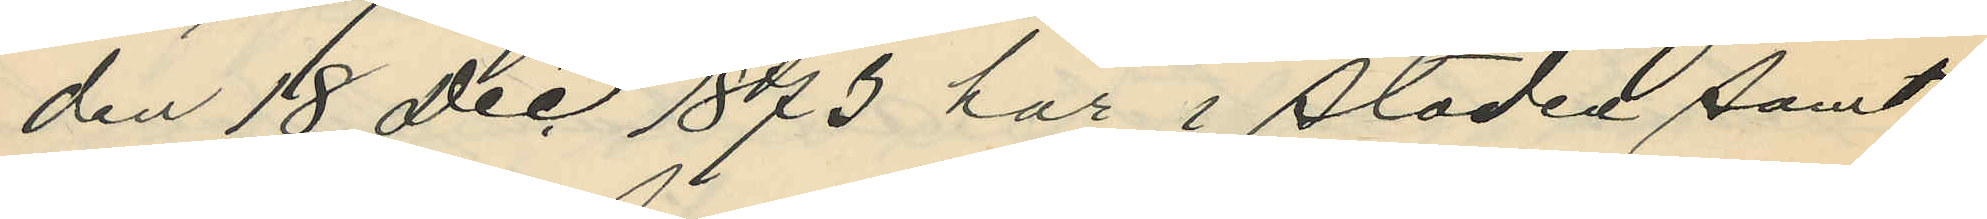den 18 Dec 1873 här i staden samt
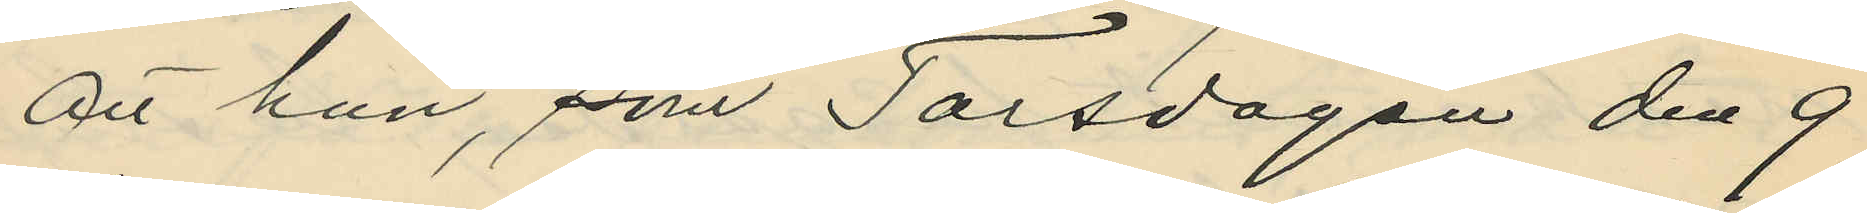att han, som Torsdagen den 9
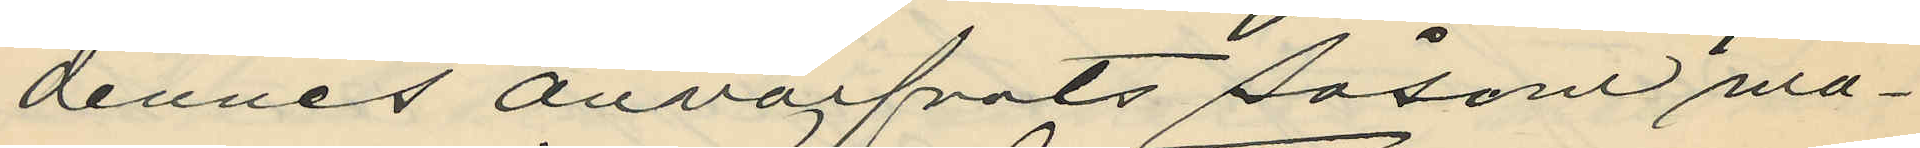dennes anvärfvats såsom ma¬
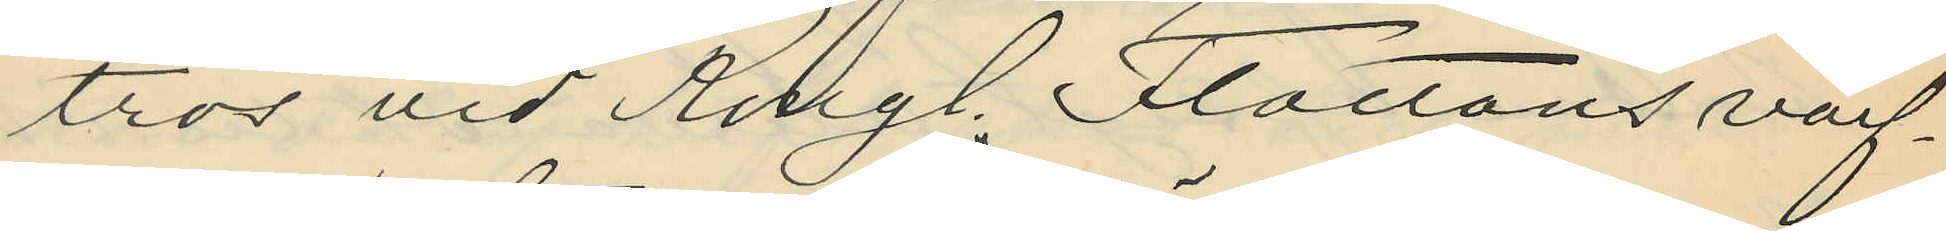tros vid Kongl. Flottans värf¬
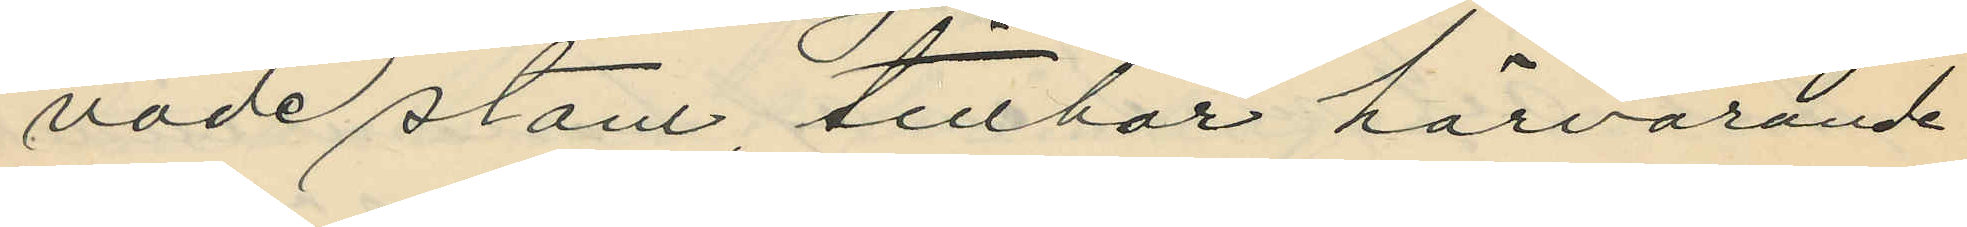vade stam, tillhör härvarande
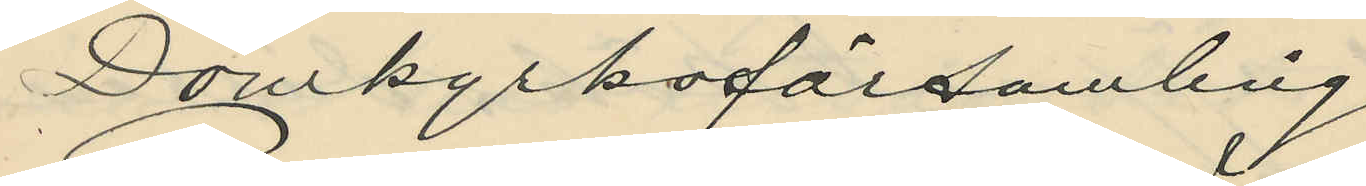Domkyrkoförsamling.
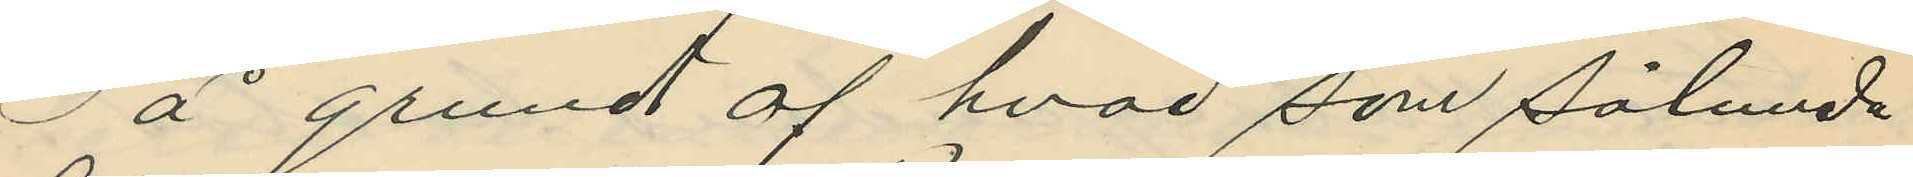å grund af hvad som sålunda
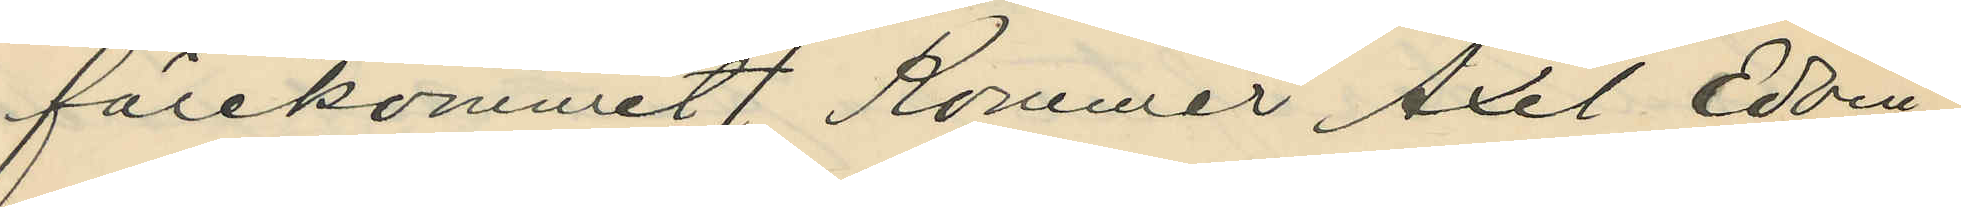förekommit, Kommer Axel Edvin
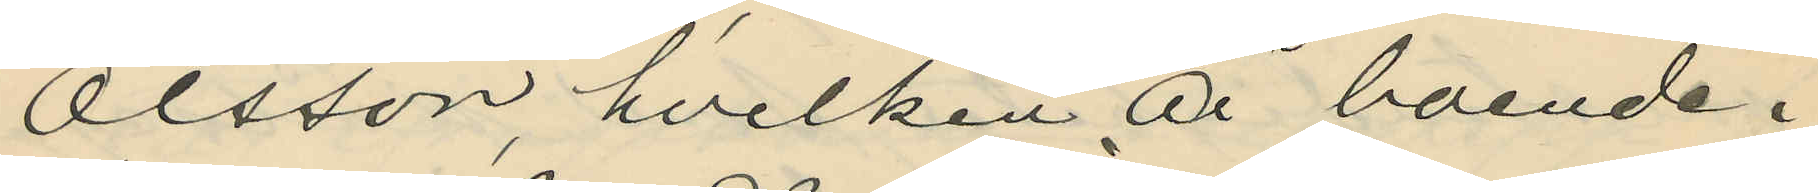Olsson, hvilken är boende i
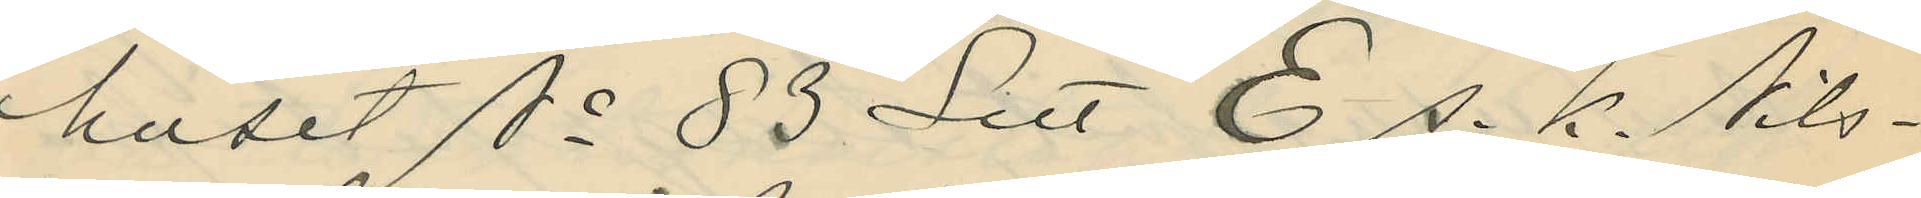huset No 83 Litt E s. k. Nils¬
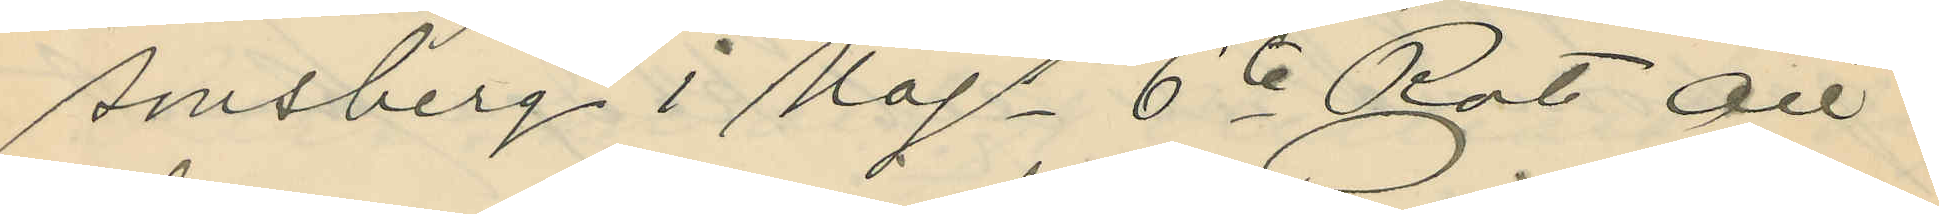sonsberg i Majs 6te Rote att
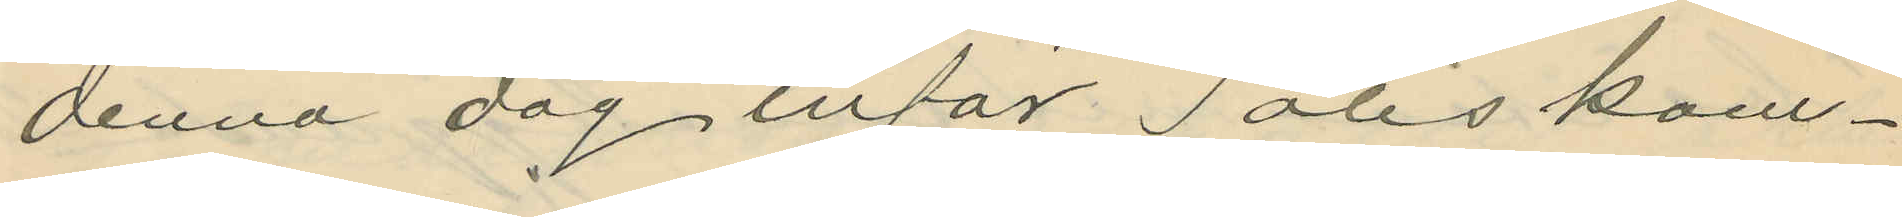denna dag inför Poliskam¬
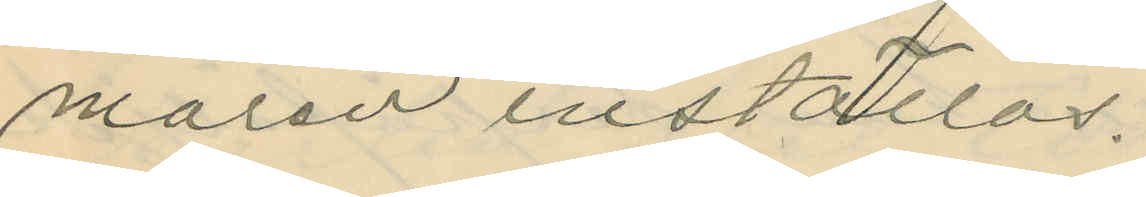maren inställas.
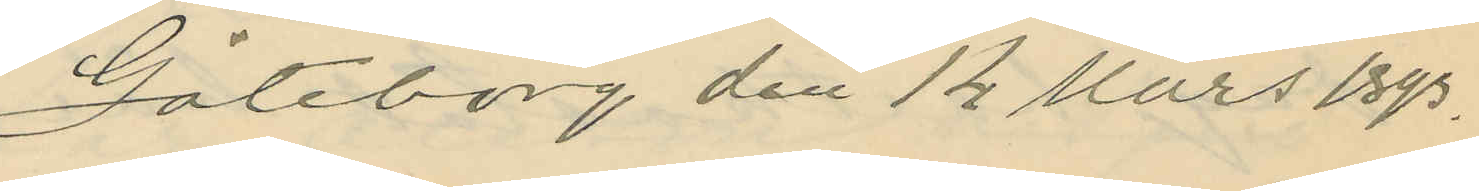Göteborg den 14 Mars 1893.
